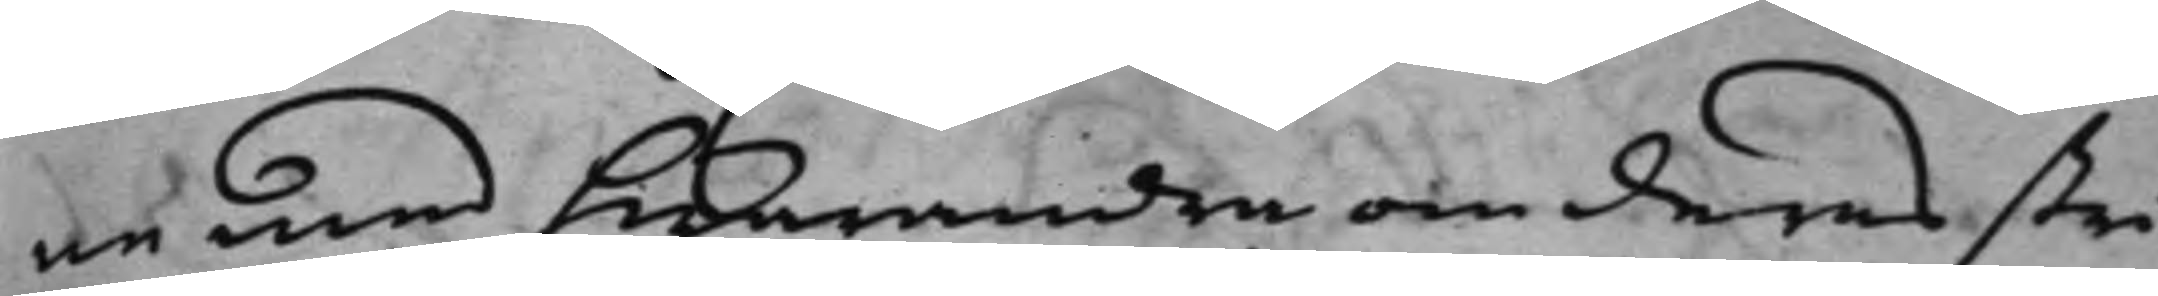ne med hwarandra om deras stri¬
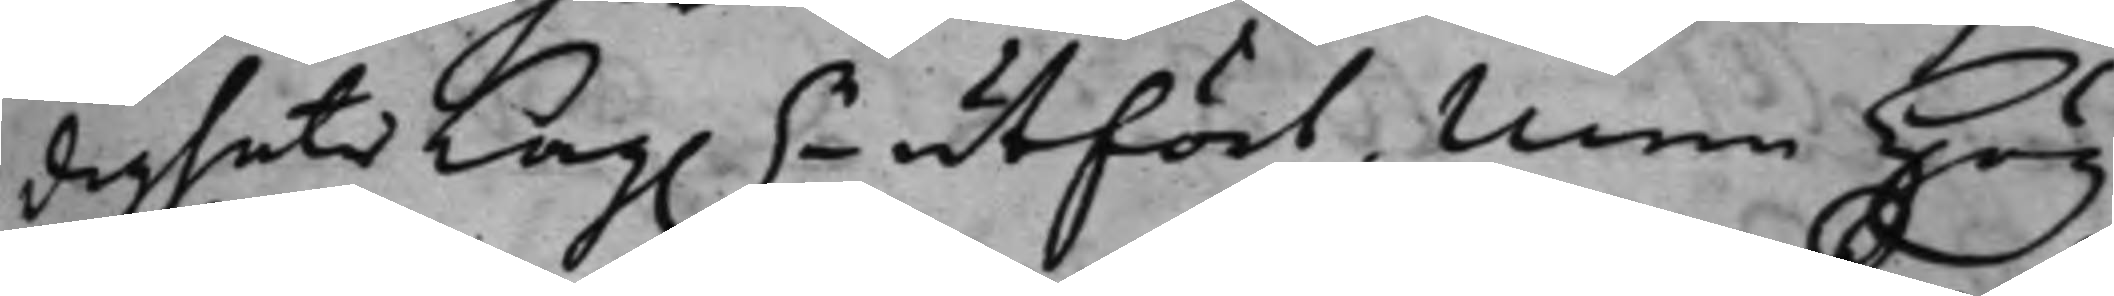digheter Lag.n utfört. Men Hög¬
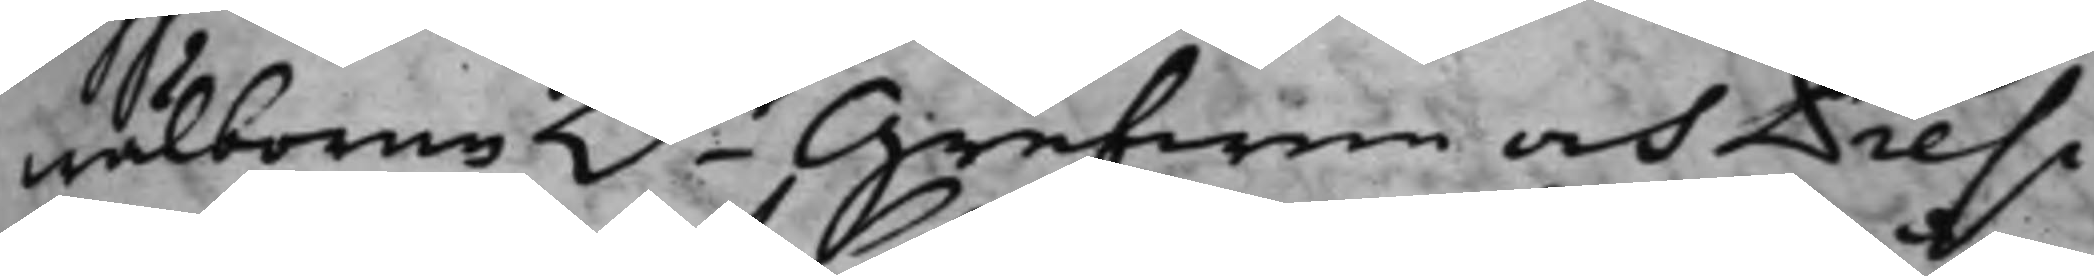wälborne h.r Grefwen och Presi¬
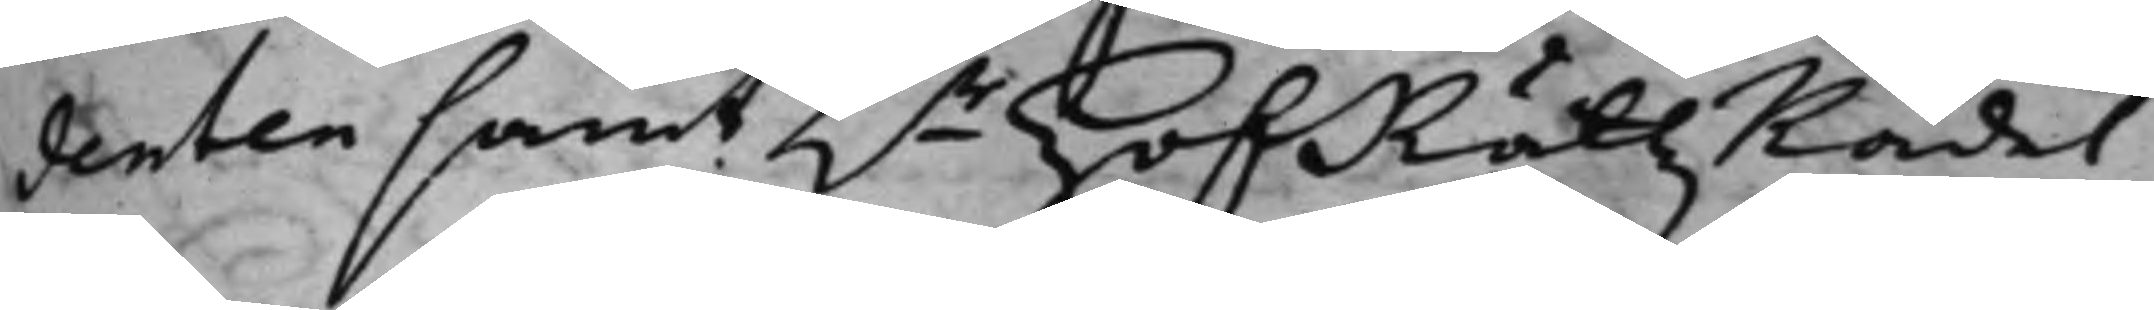denten samt h.r HofRättzRådet
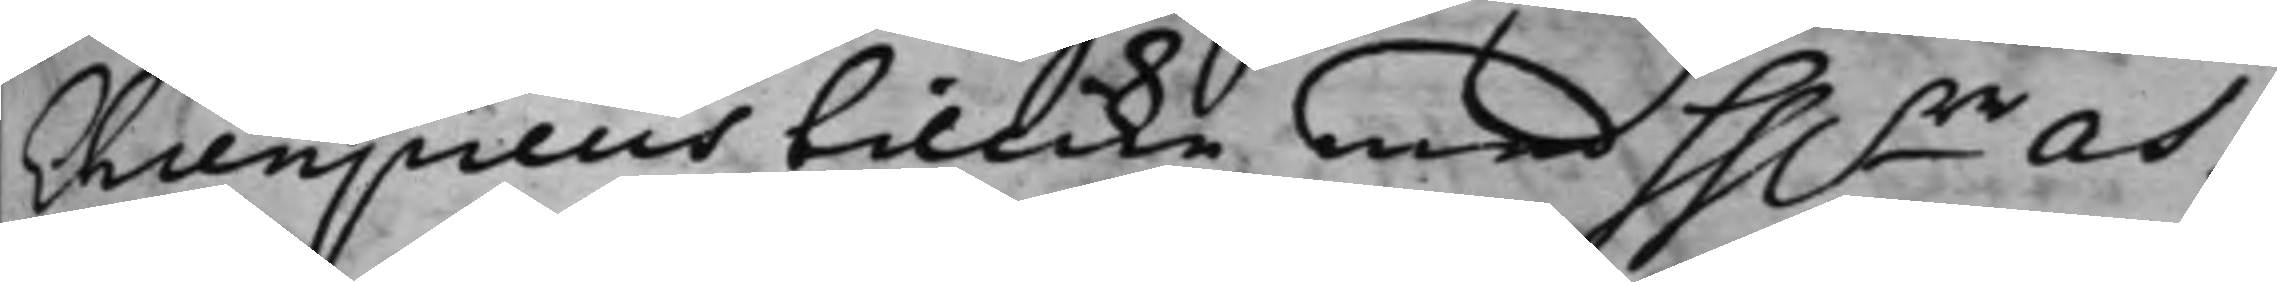Ehrenpreus tillika med hh.rr As¬
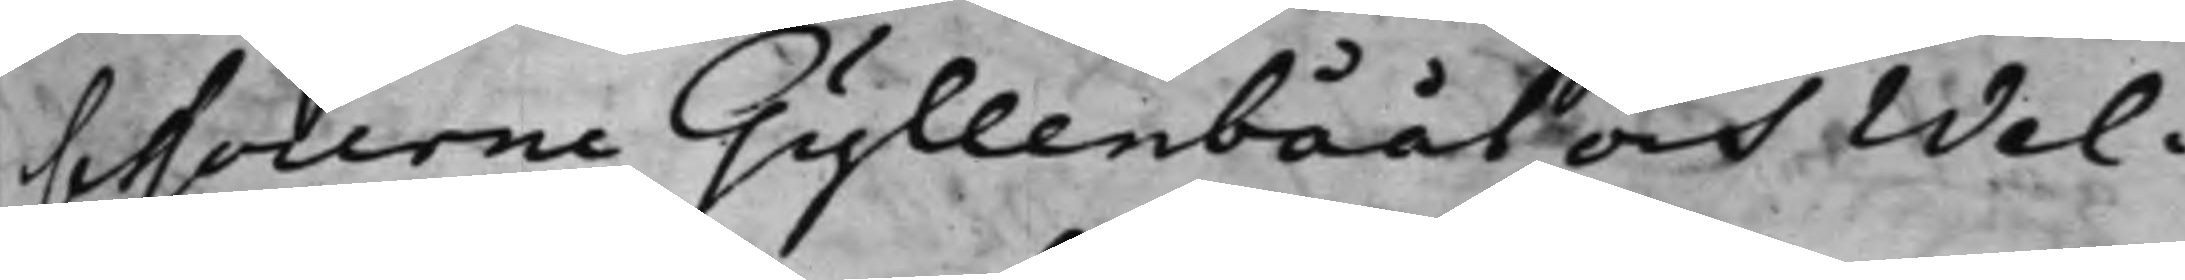sessorerne Gyllenbååt och Wel¬
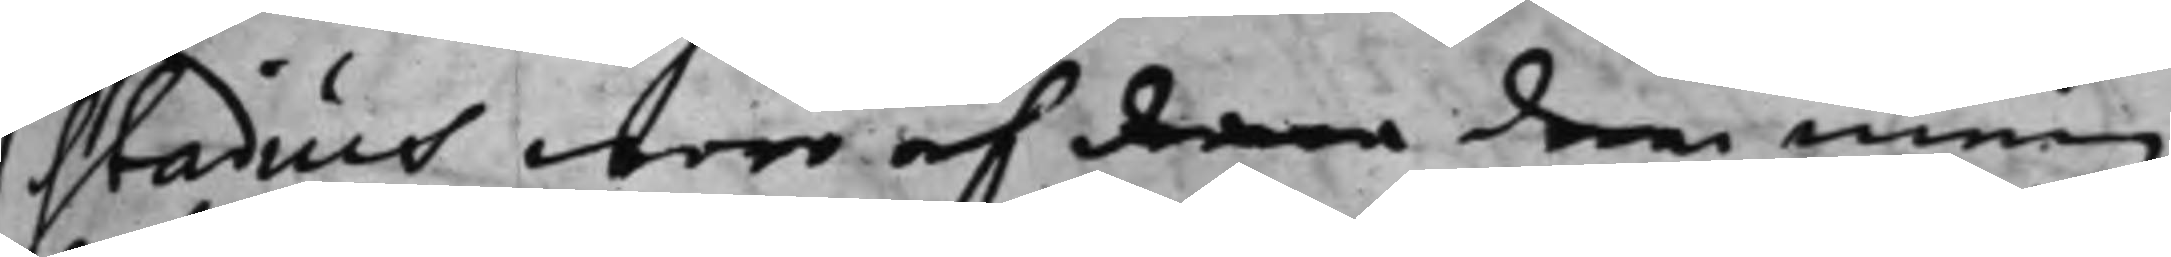stadius woro af denna den mening
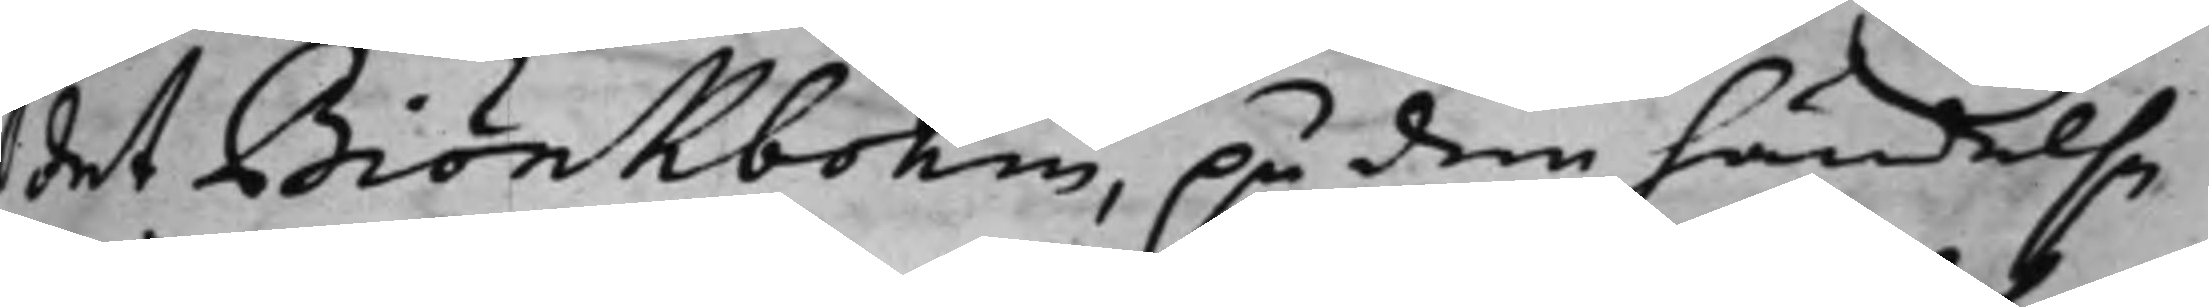det Biörkbohm, på den händelse
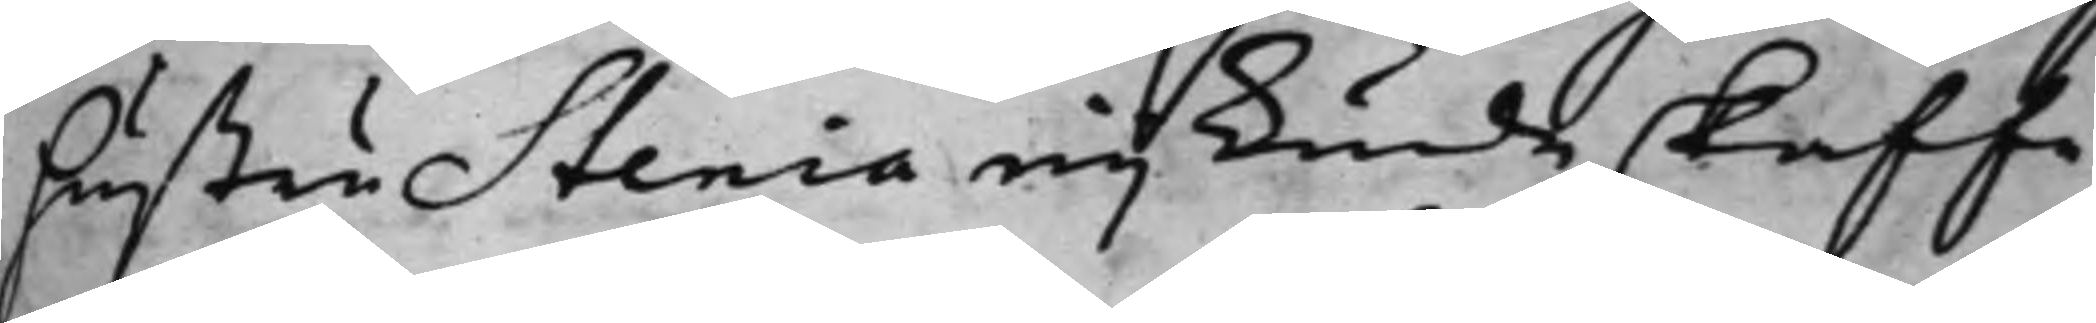hustru Stenia eij kunde skaffa
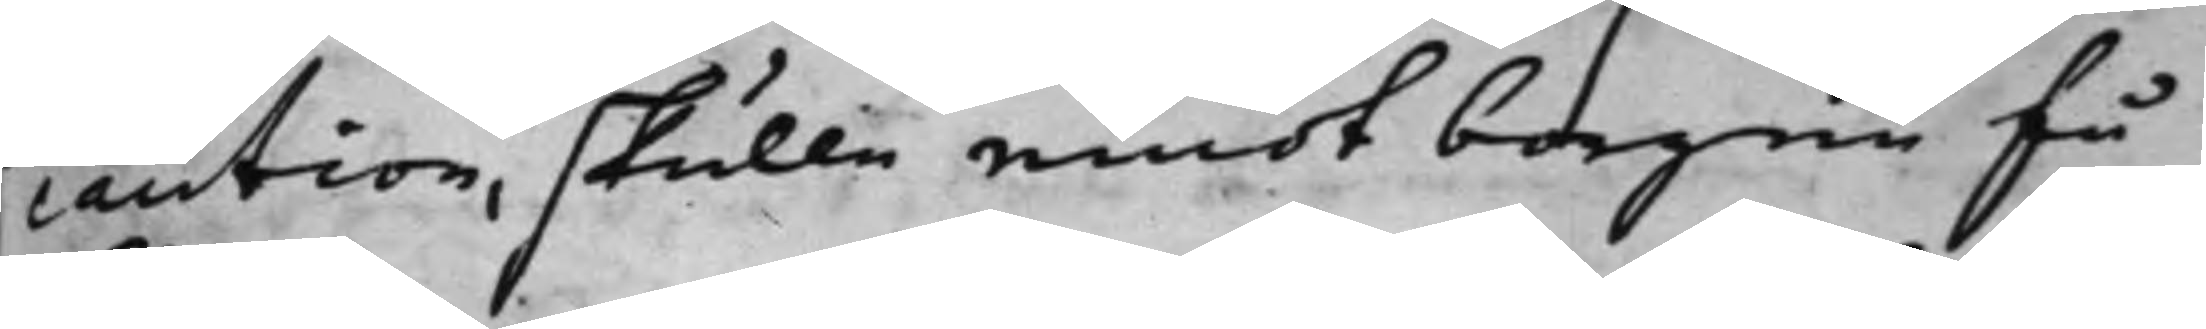caution, skulle emot borgen få
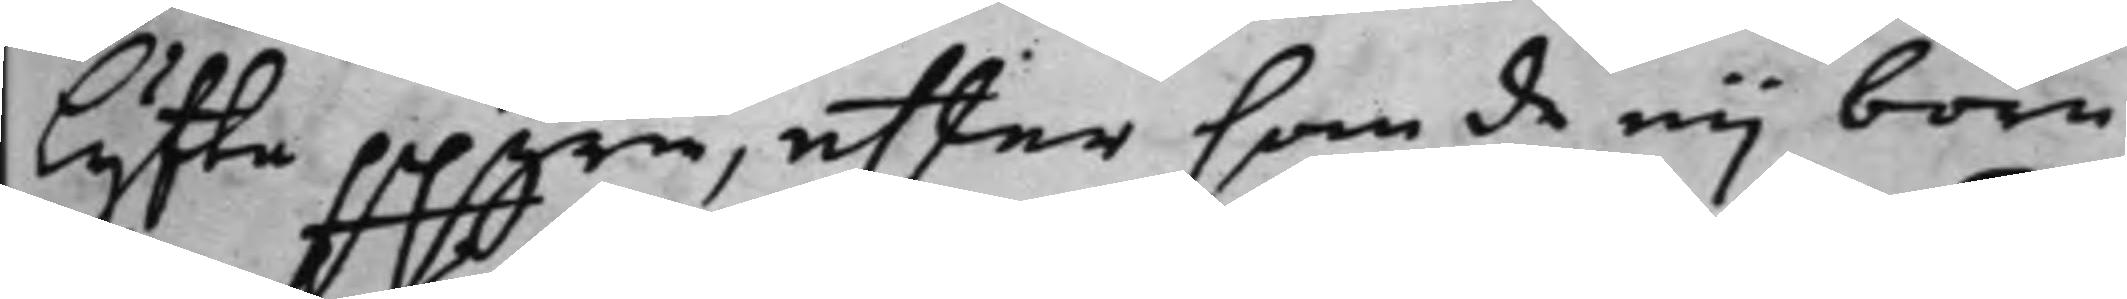lyffta ppgrne, effter som de eij böra
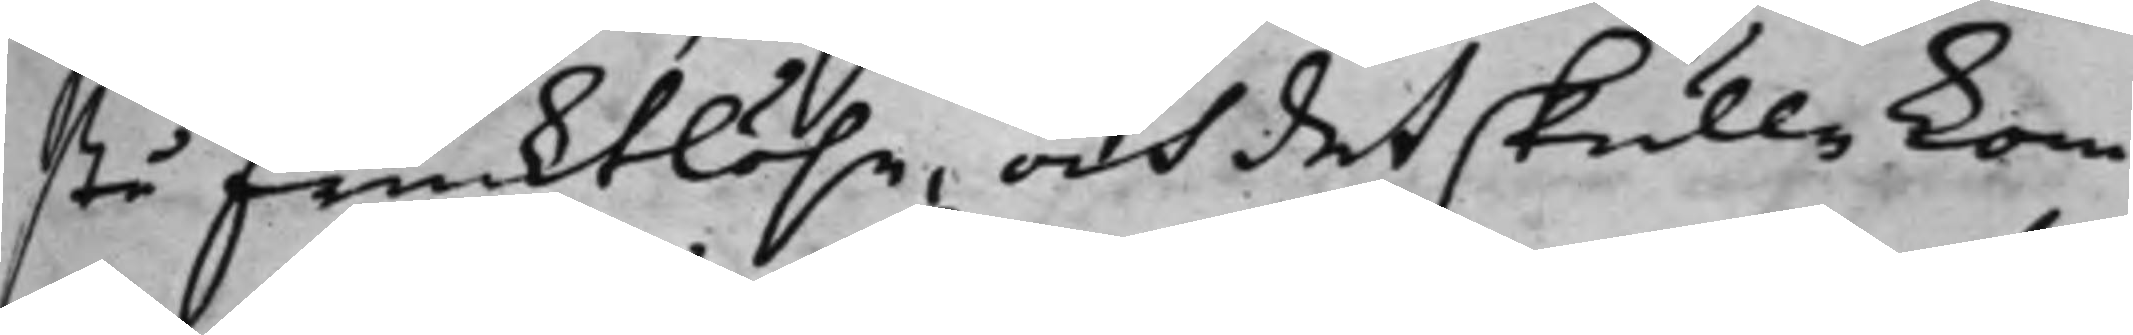stå frucktlöse, och det skulle kom¬
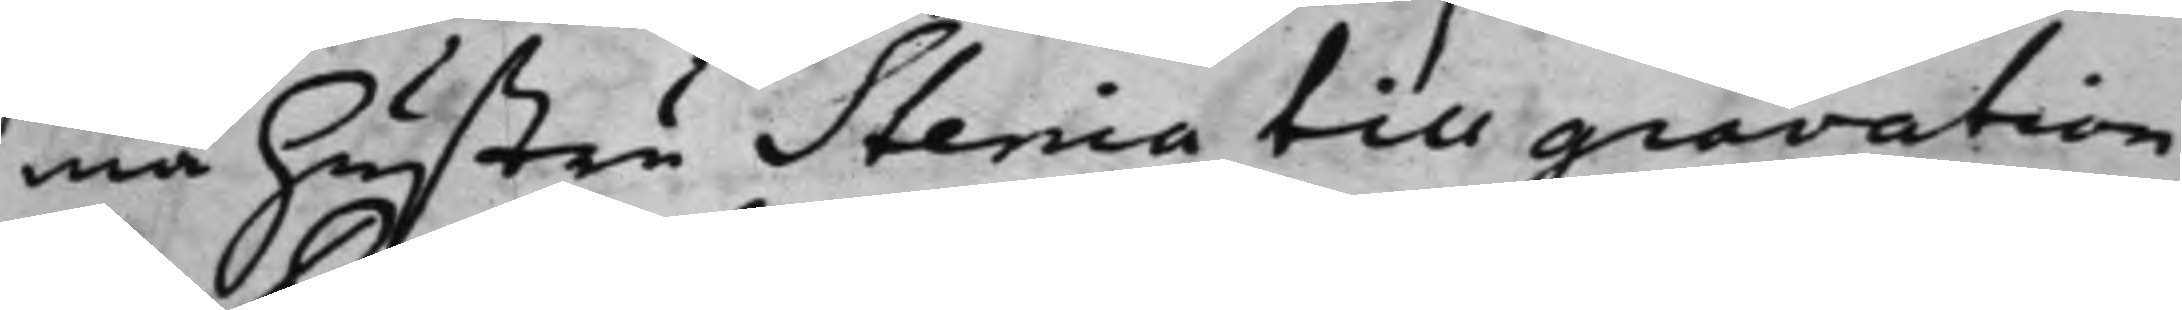ma hustru Stenia till gravation
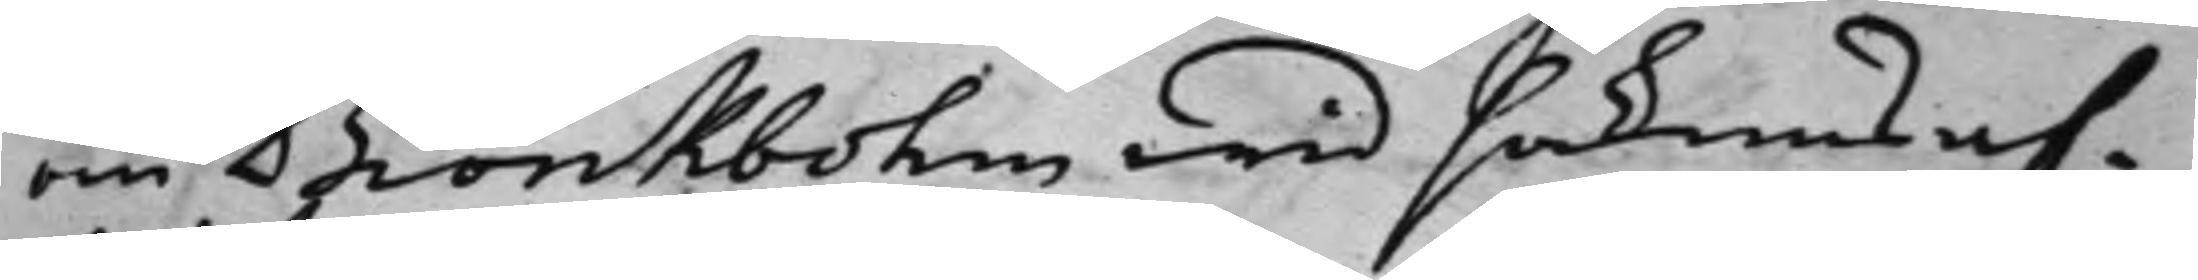om Biörkbohm wid sakens af¬
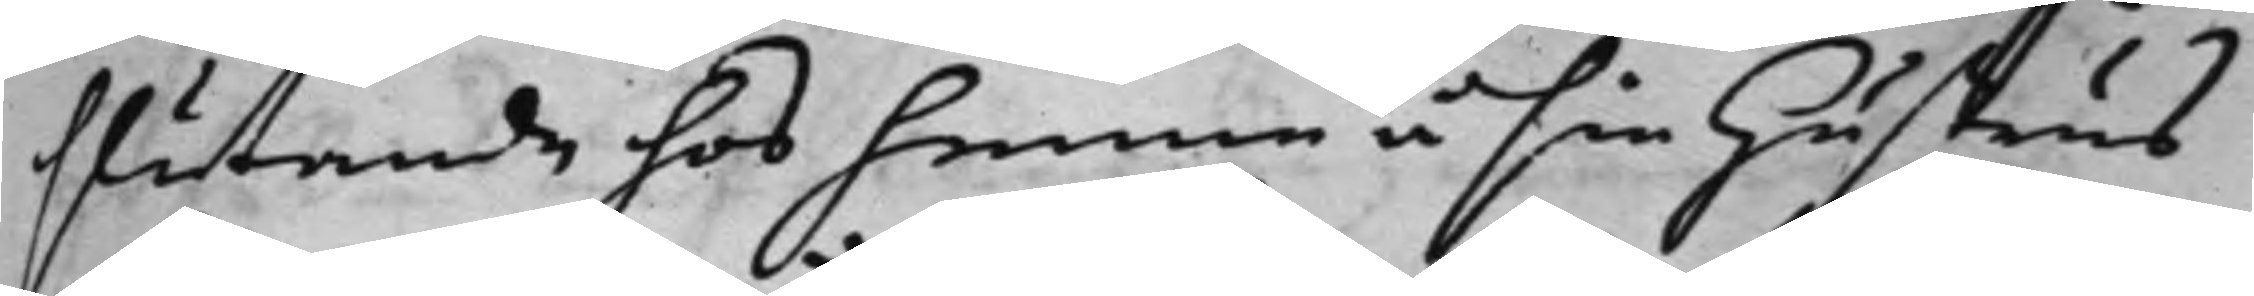slutande hos henne å sin hustrus
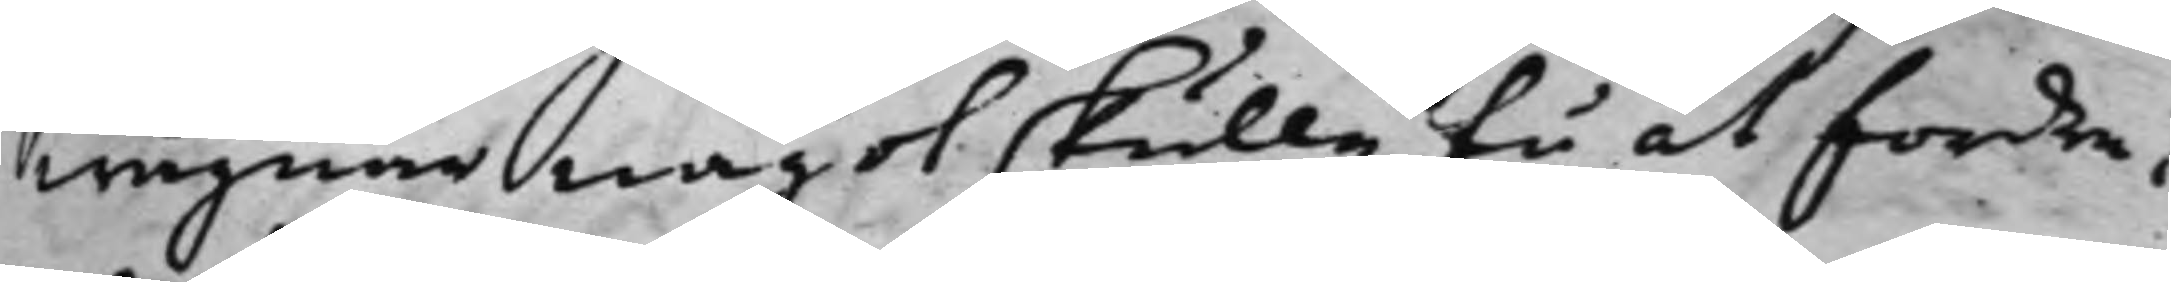wägnar något skulle få at fordra,
